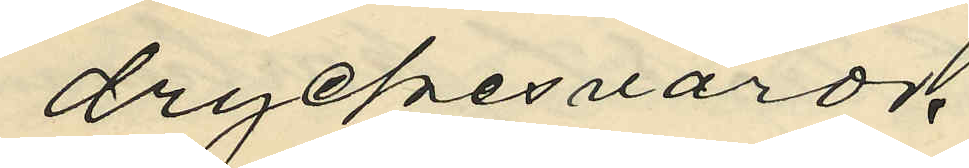dryckesvaror.
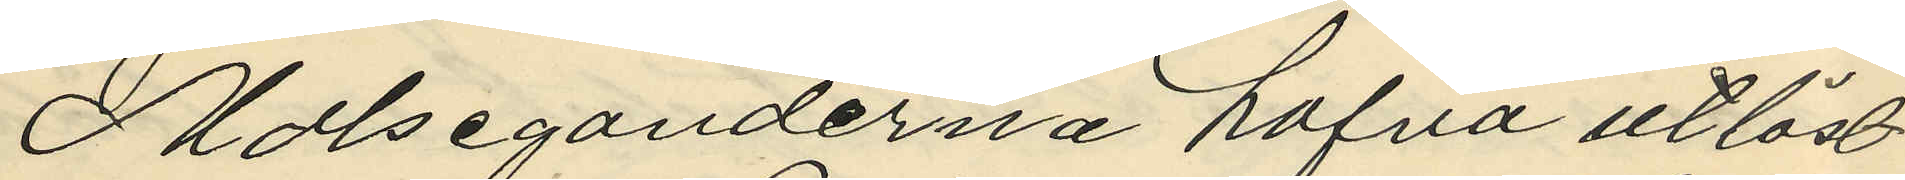Målseganderna hafva utlöst
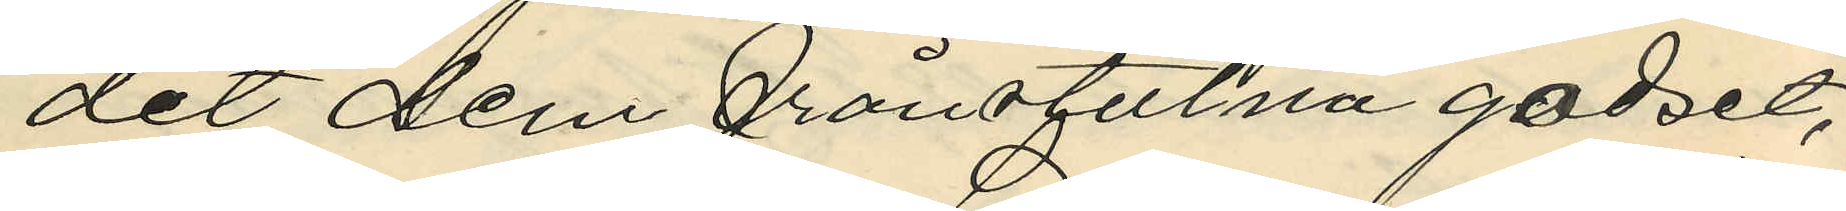det dem frånstulna godset,
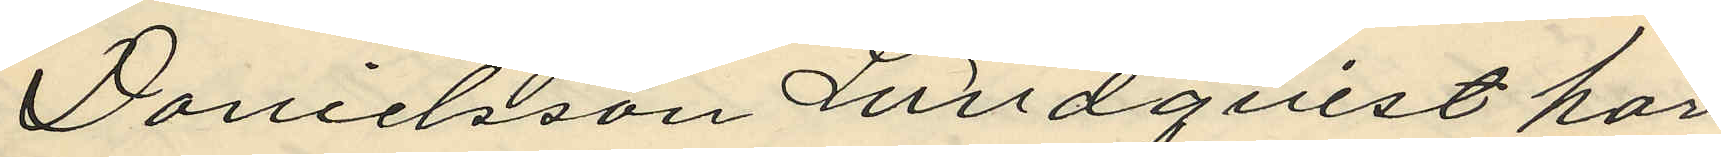Danielsson Lundquist har
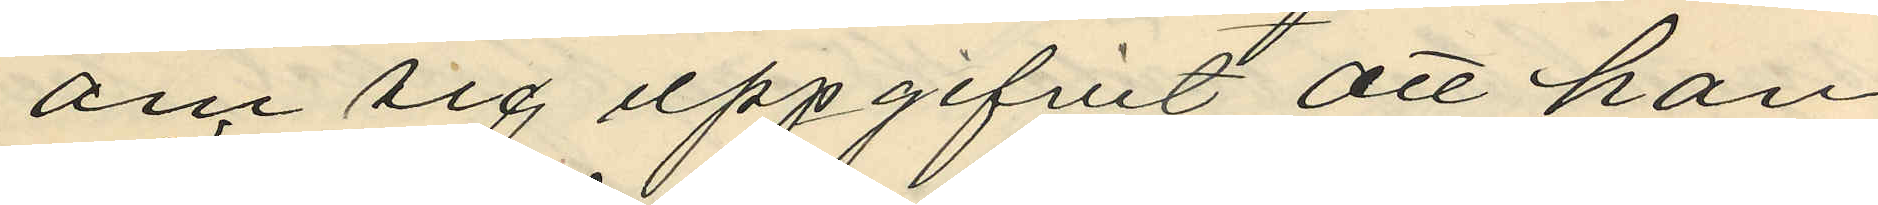om sig uppgifvit att han
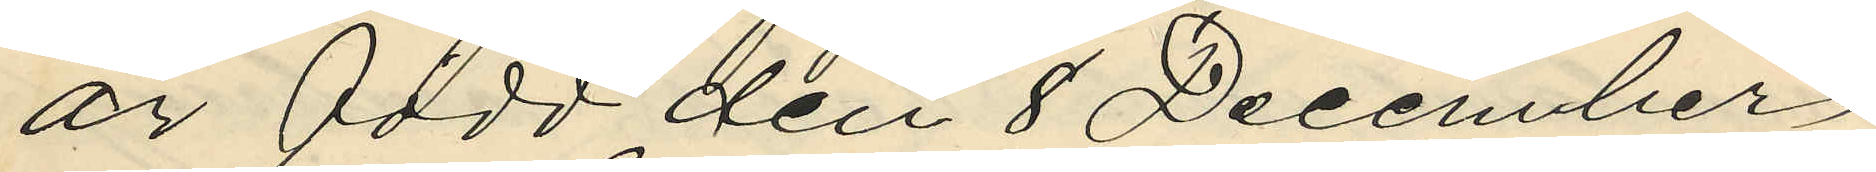är född den 8 Deecember
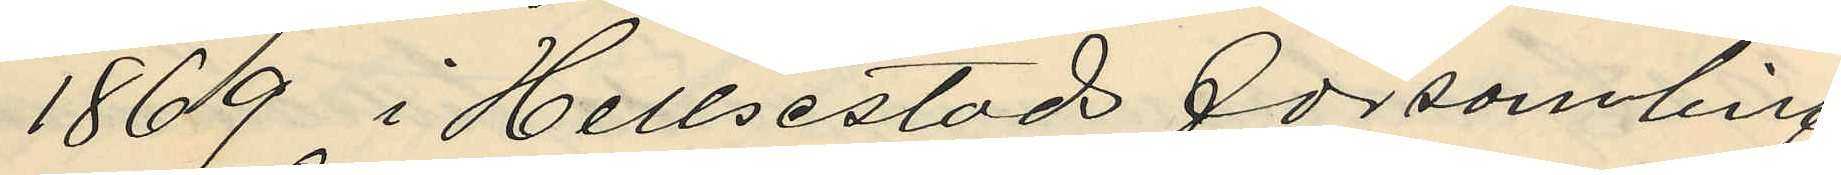1869 i Hellsestads församling.
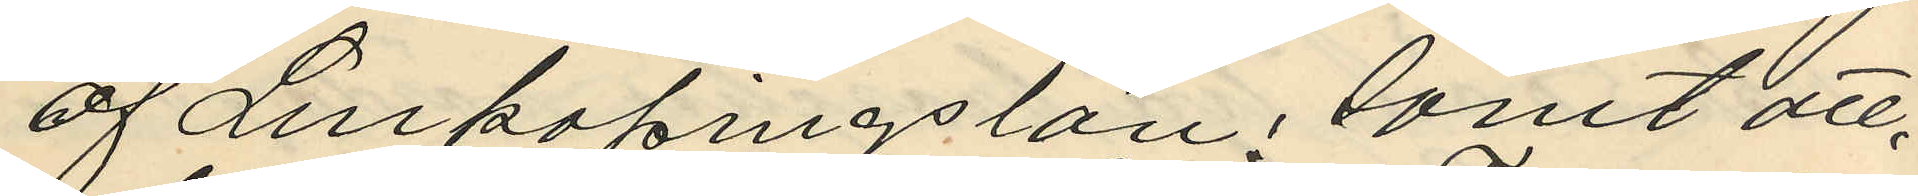af Linkopings län; samt att
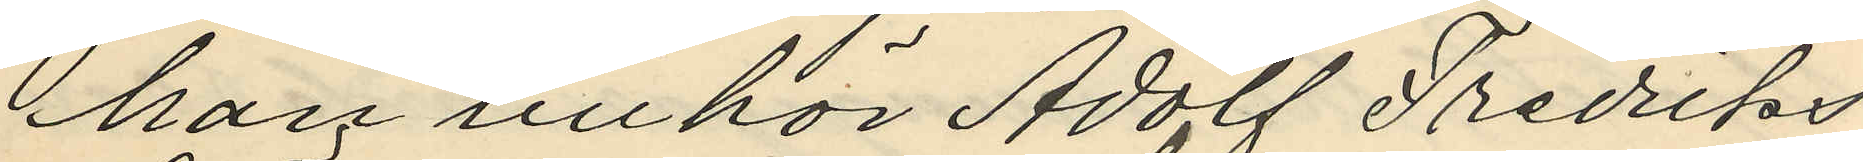han tillhör Adolf Fredriks
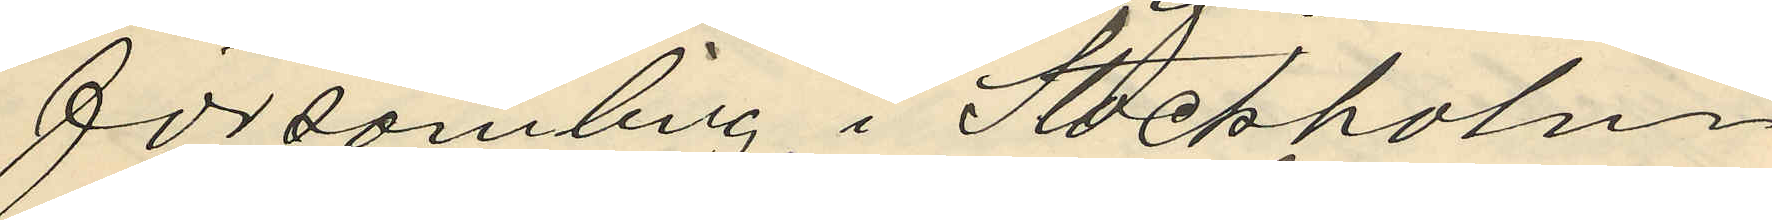församling i Stockholm
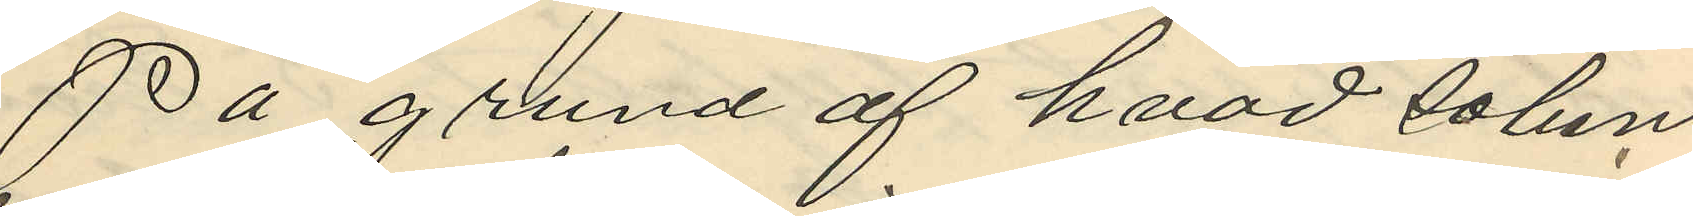På grund af hvad solun
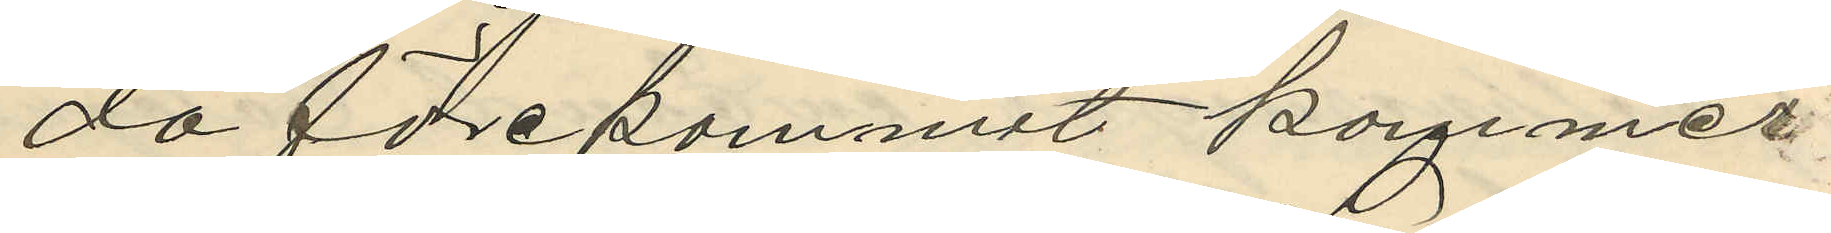da förekommit kommer
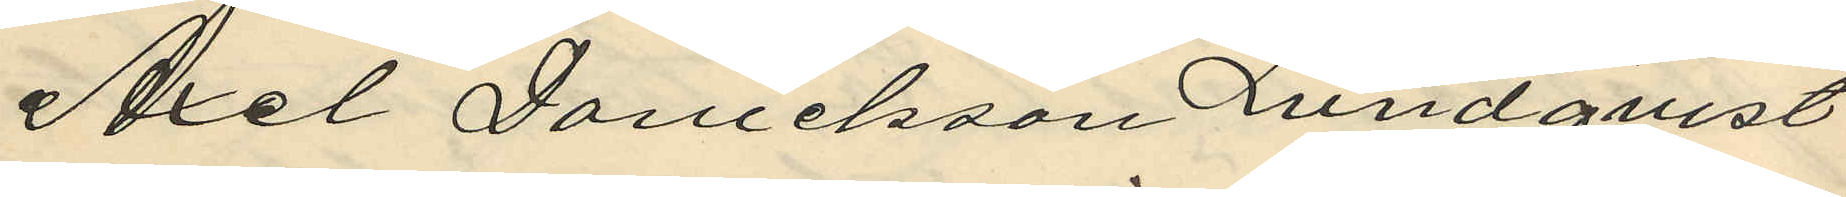Axel Danielsson Lundqvist
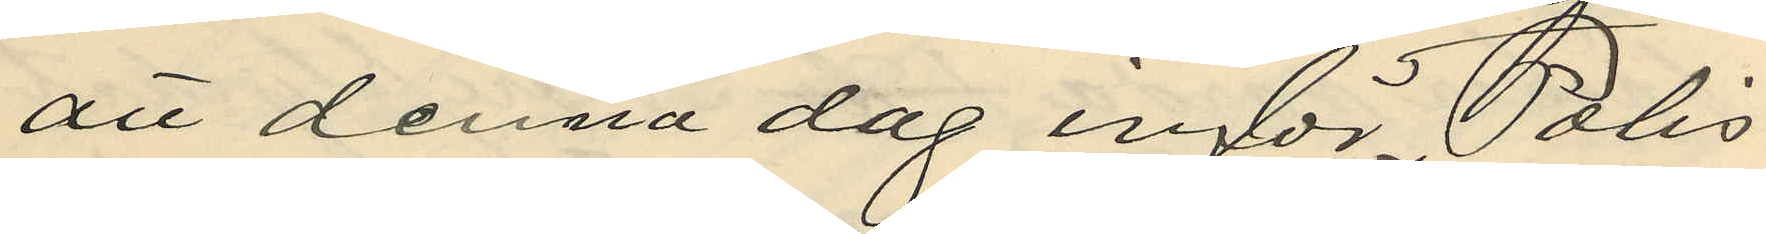att denna dag inför Polis
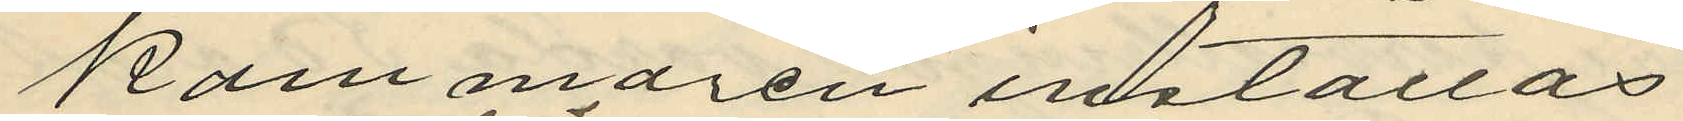kammaren inställas.
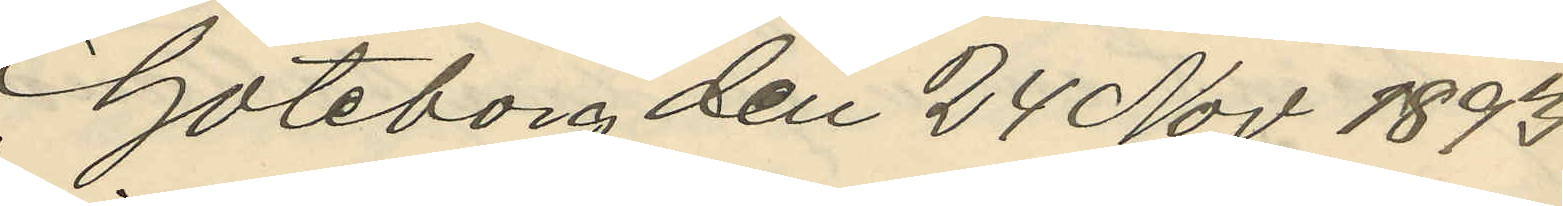Göteborg den 24 Nov 1893.
